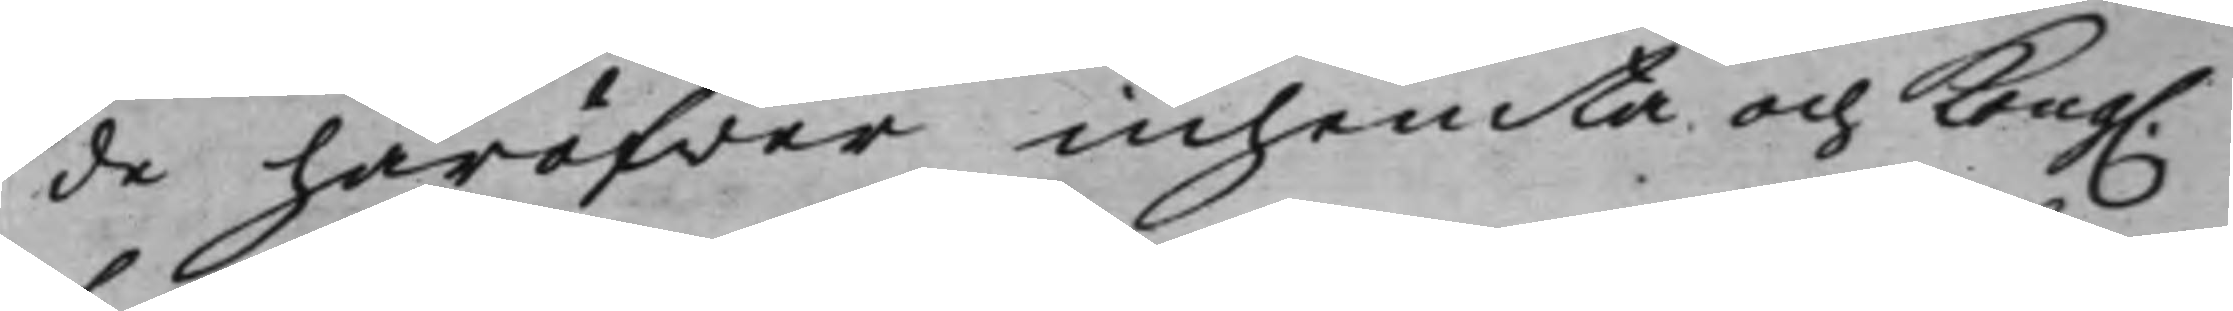de häröfwer inhemta och Kong.
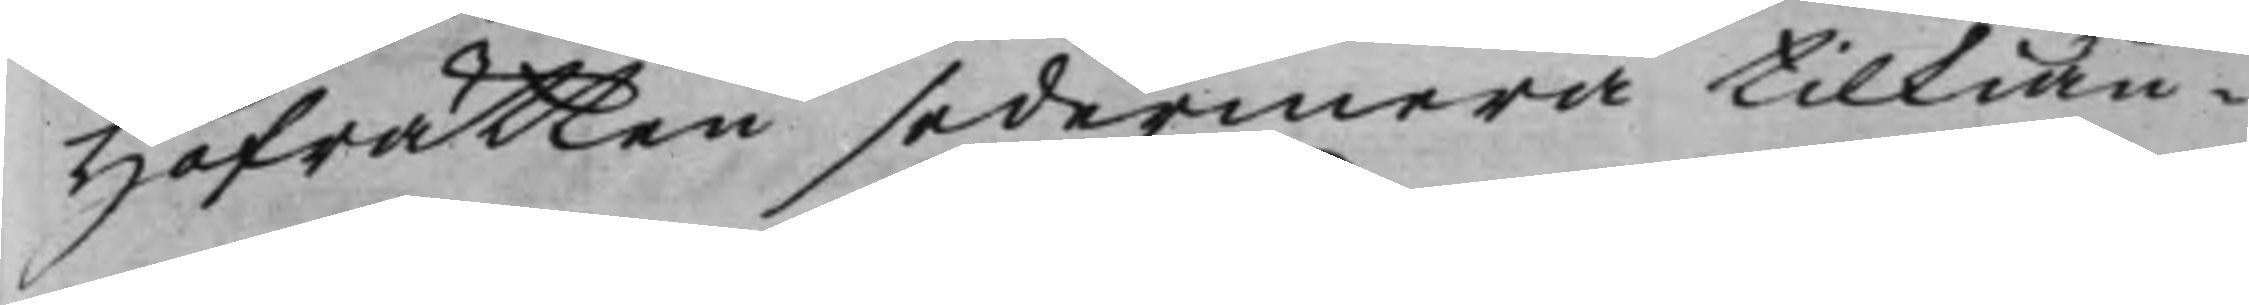Hofrätten sedermera tilkiän¬
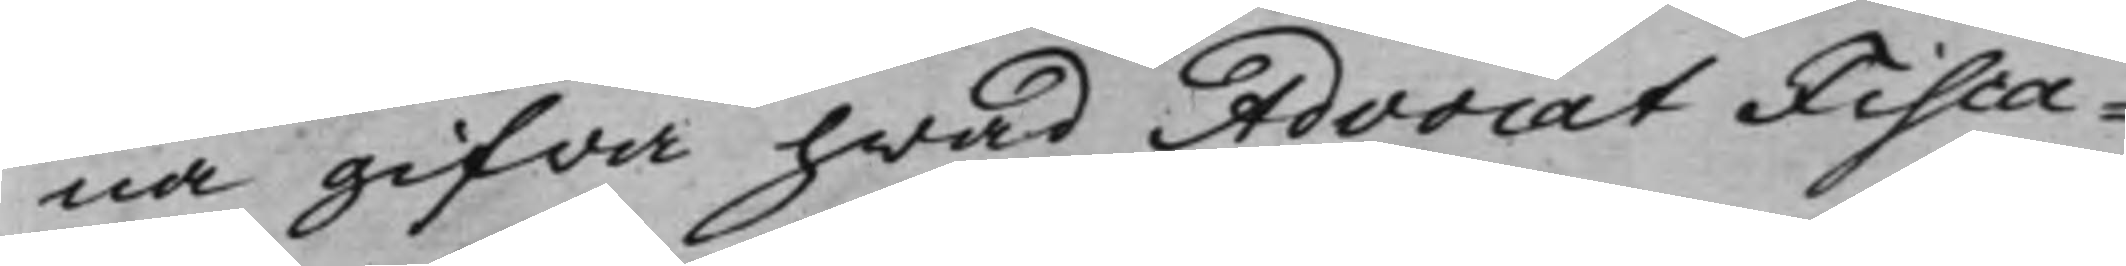na gifwa hwad AdvocatFisca¬
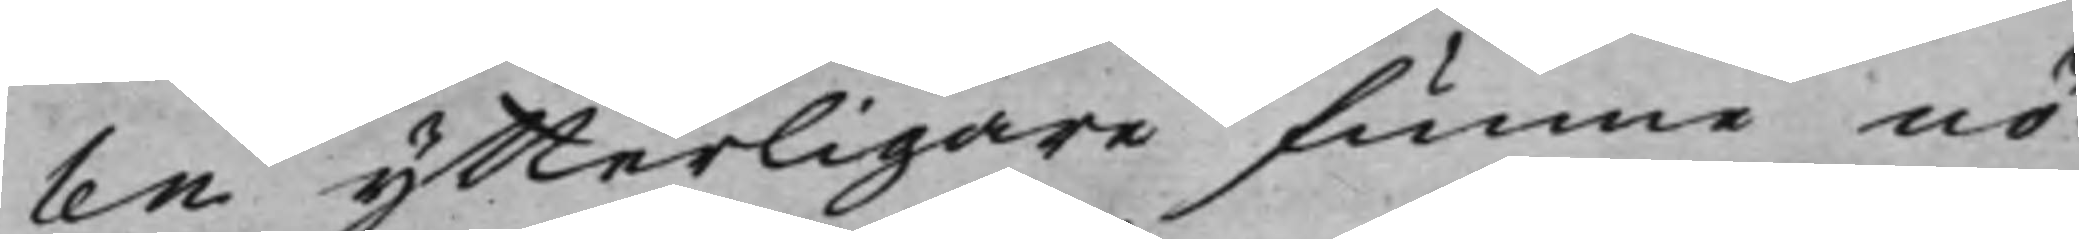len ytterligare funne nö¬
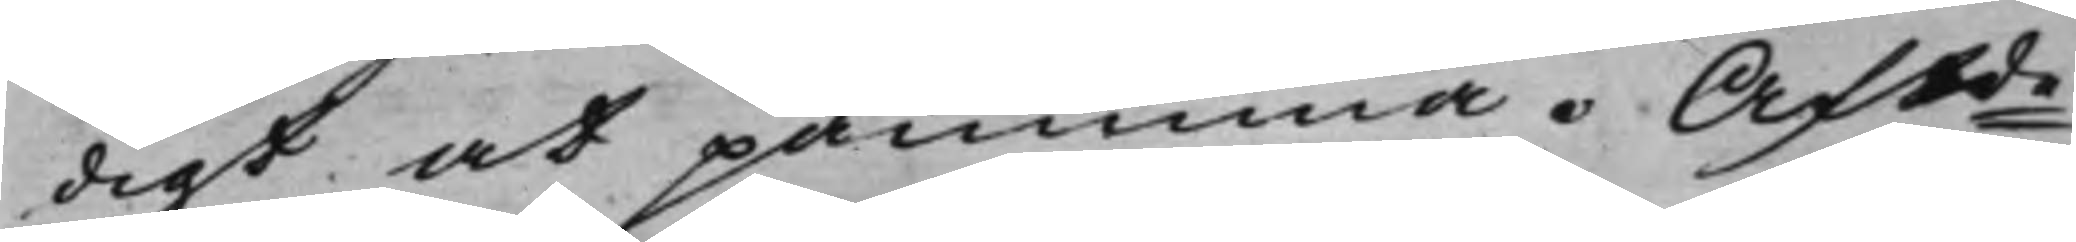digt at påminna. Aftde
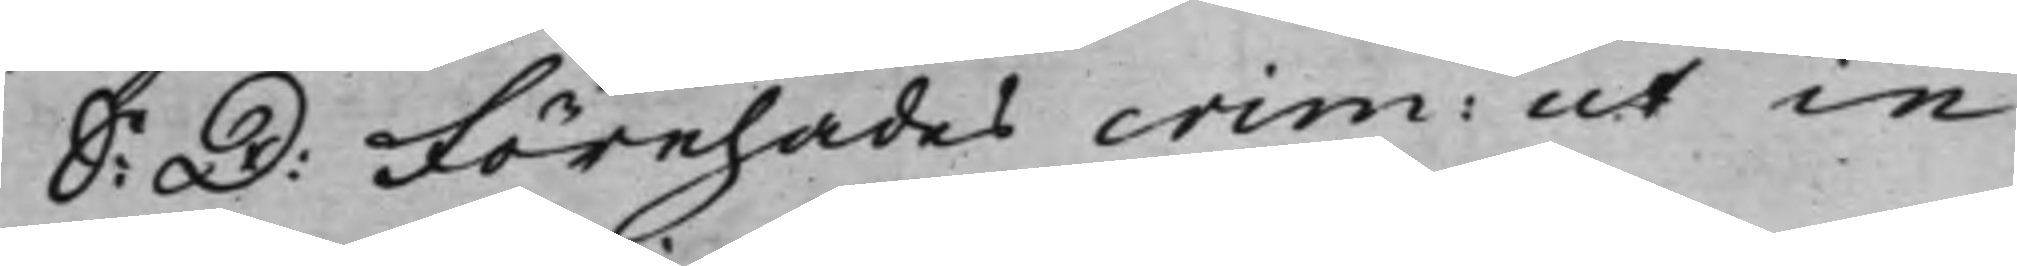S: D: Förehades crim: ut in
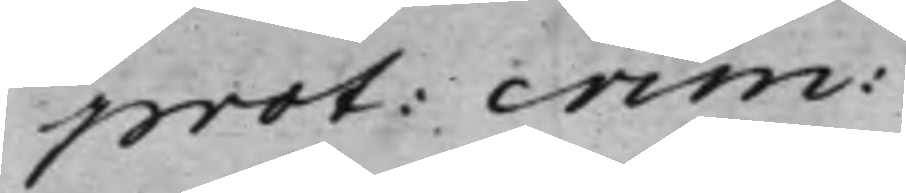prot: crim:
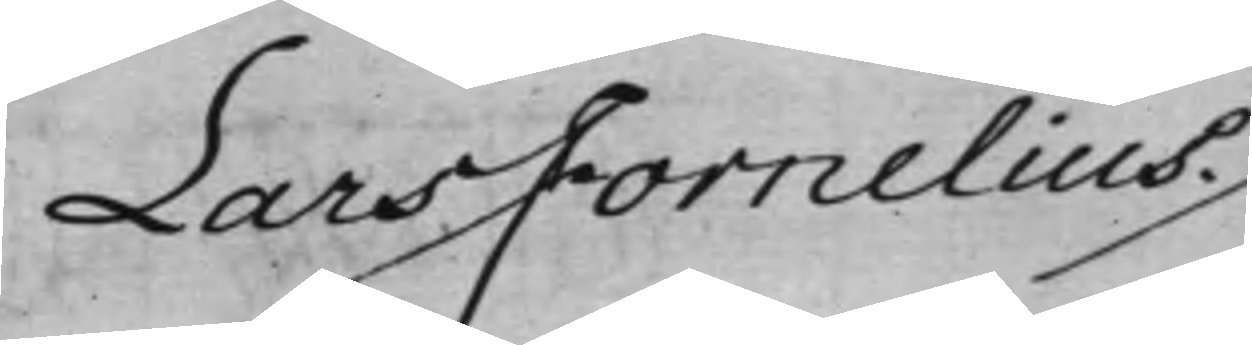Lars Fornelius ./.
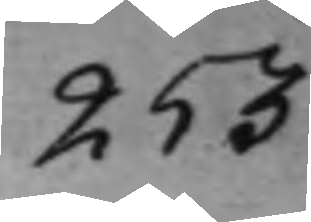253
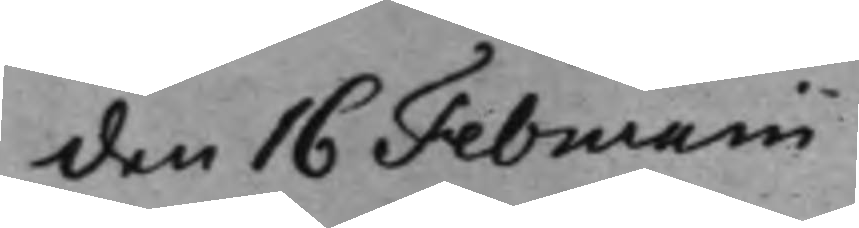den 16 Februarii
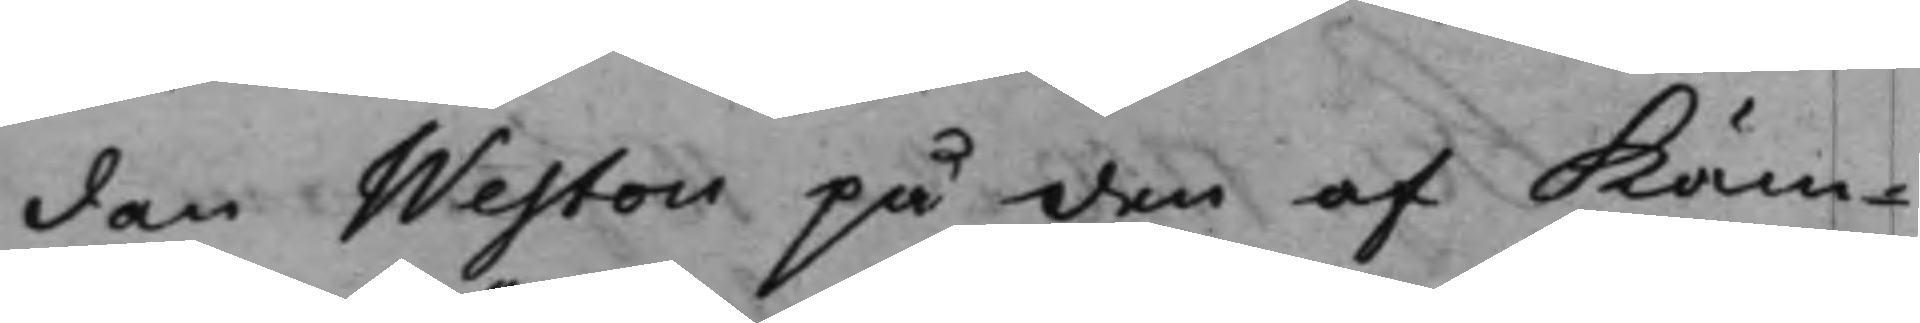dan Westou på den af Käm¬
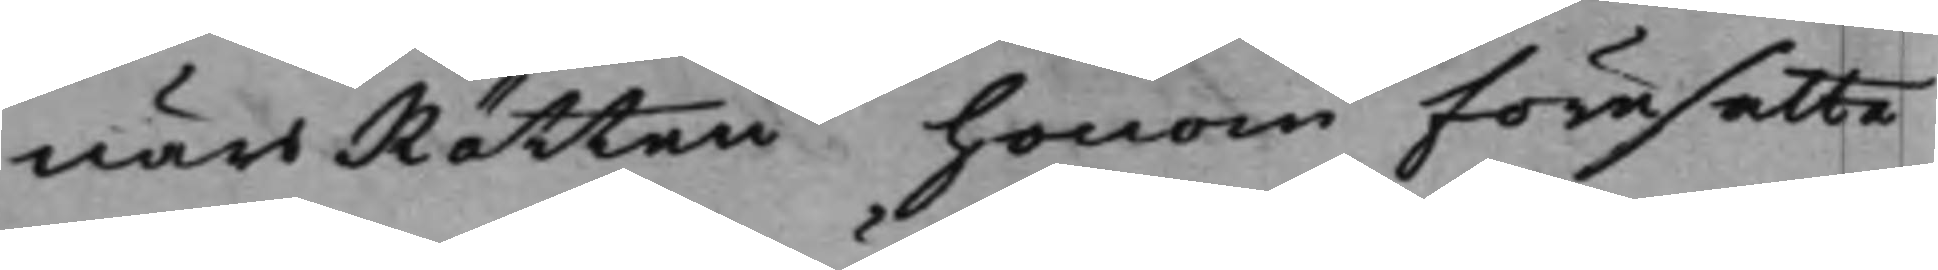närsRätten honom föresatte,
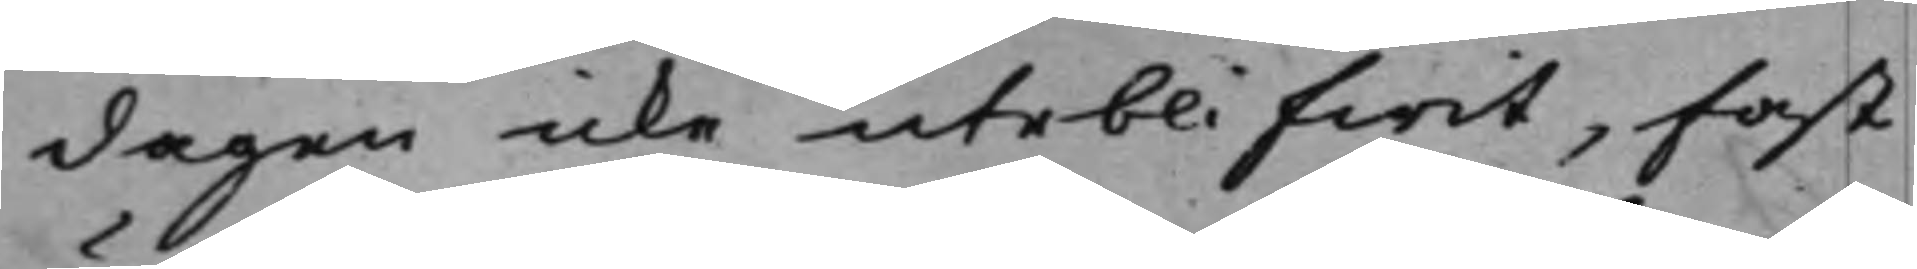dagen icke uteblifwit, fast
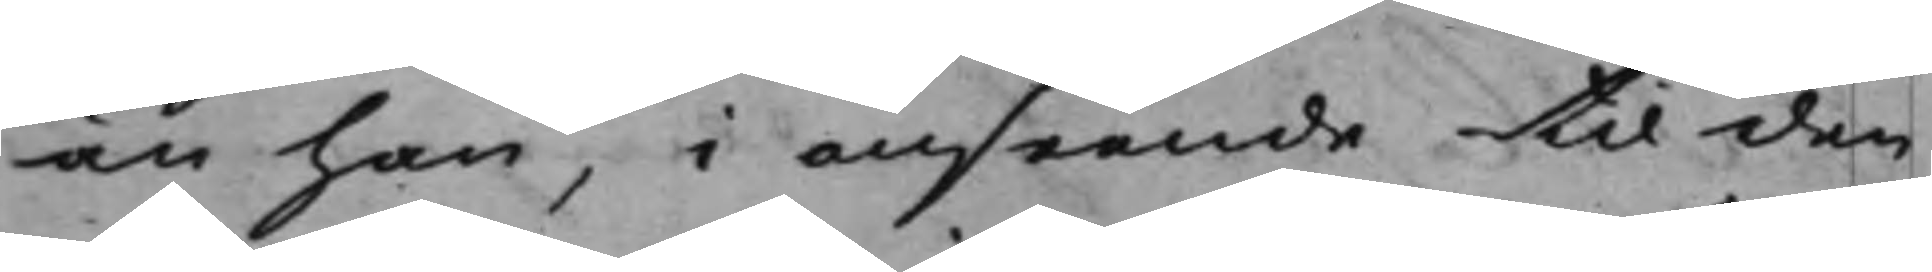än han, i anseende til den
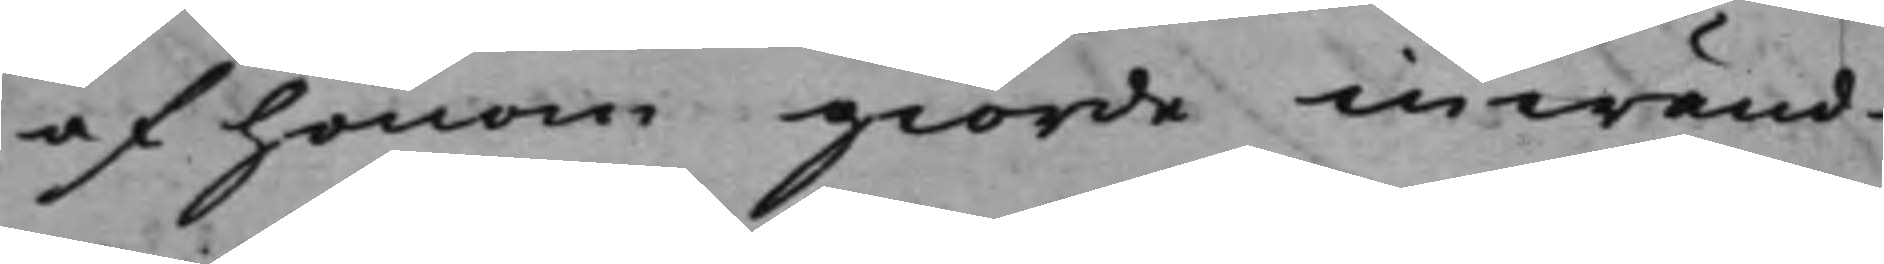af honom giorde inwänd¬
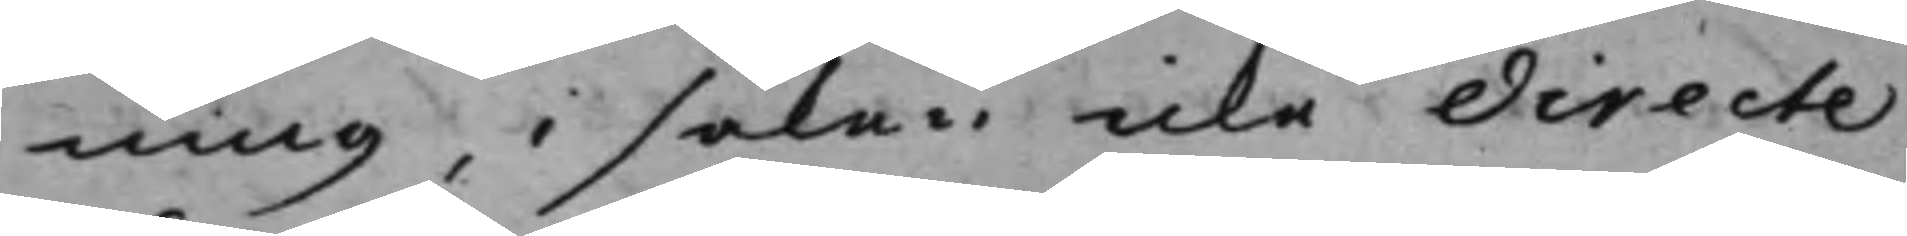ning, i saken icke directe
